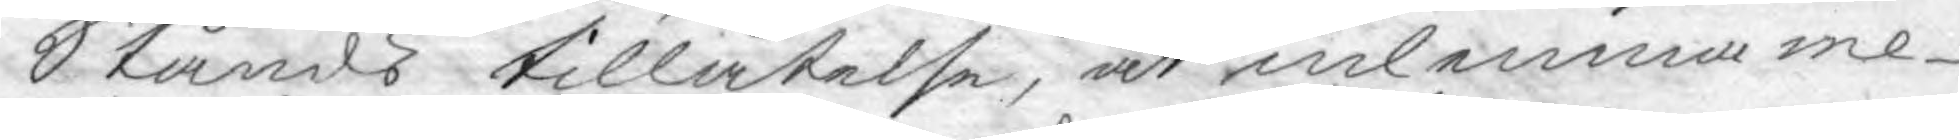Stånds tillåtelse, at inlemna me¬
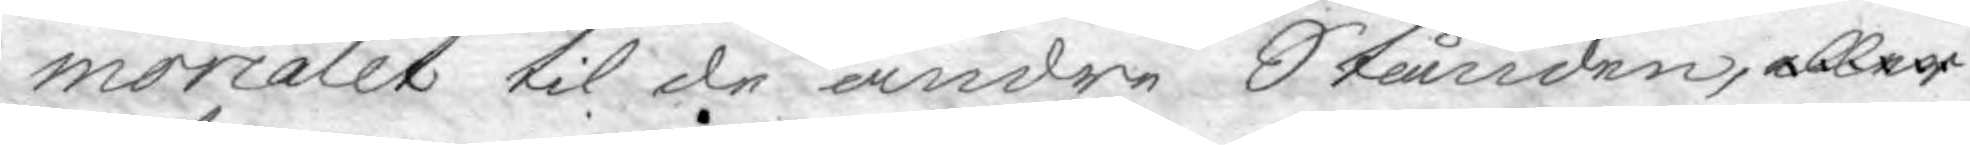morialet til de andre Stånden, eller
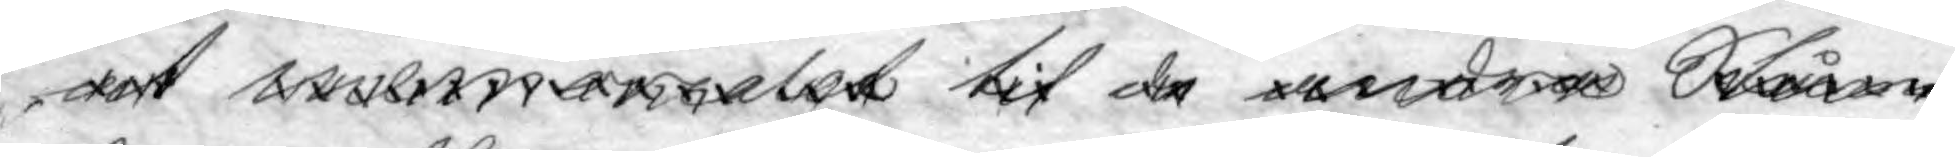at memorialet til de andra Stån¬
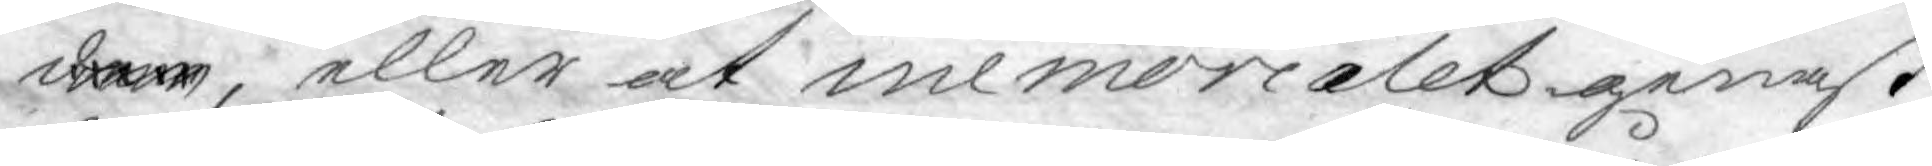den, eller at memorialet genast
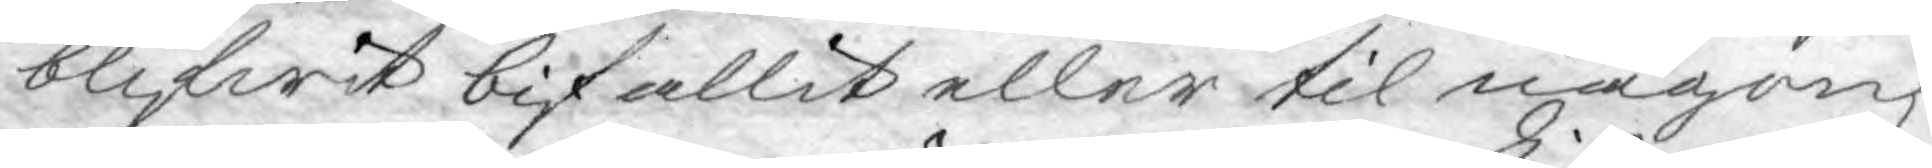blifwit bifallit eller til någon
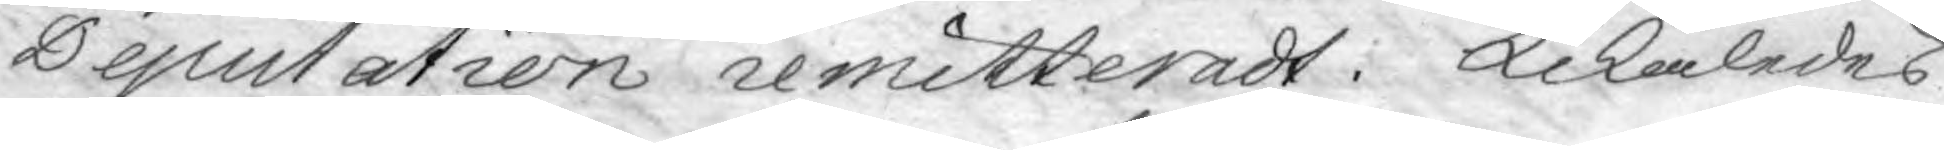Deputation remitteradt. Likaledes
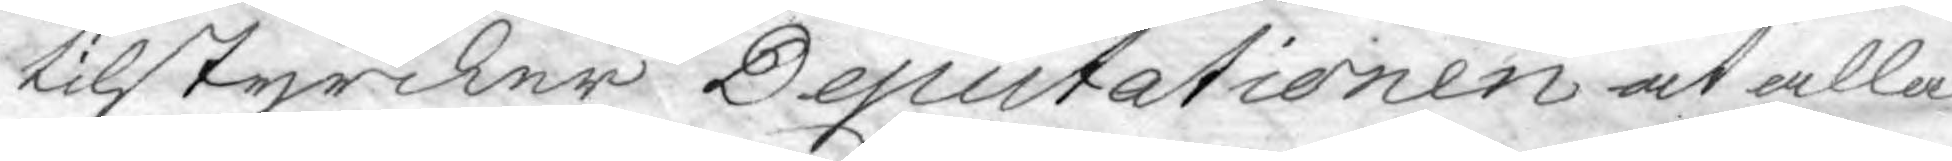tilstyrcker Deputationen at alla
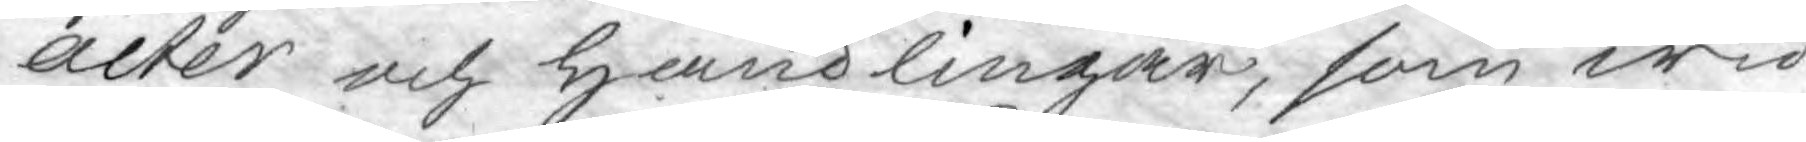acter och handlingar, som wid
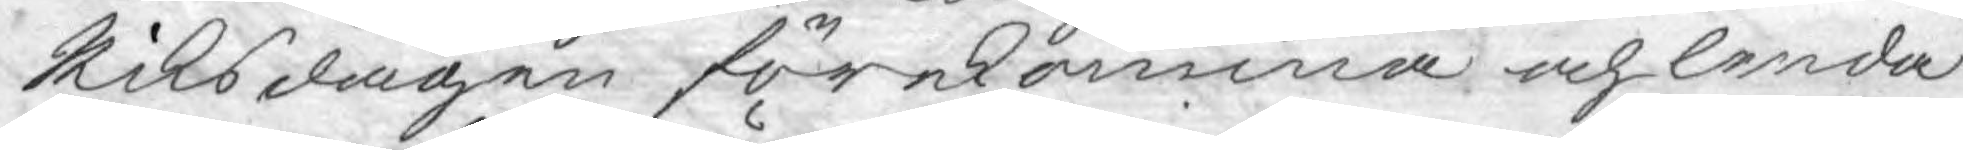Riksdagen förekomma och lenda
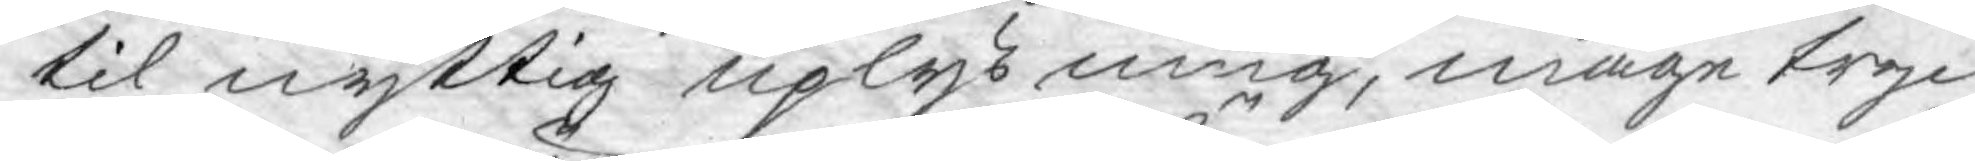til nyttig uplysning, måge tryc¬
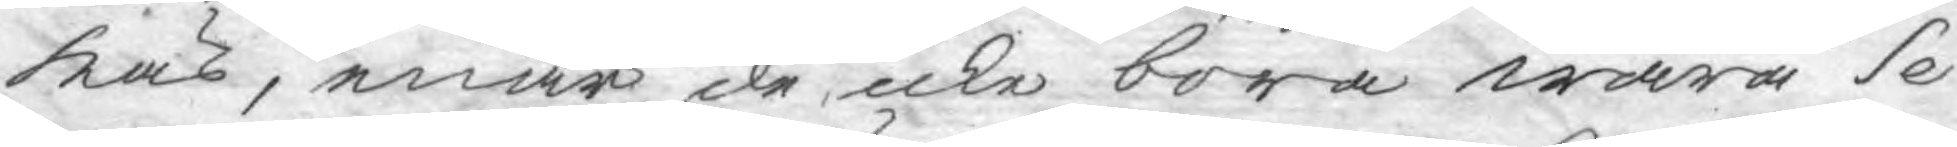kas, enär de icke böra wara Se¬
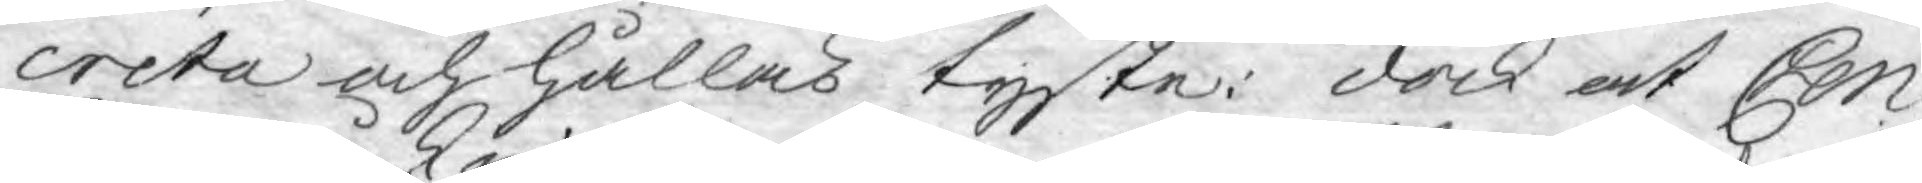creta och hållas tyste: dock at Cen¬
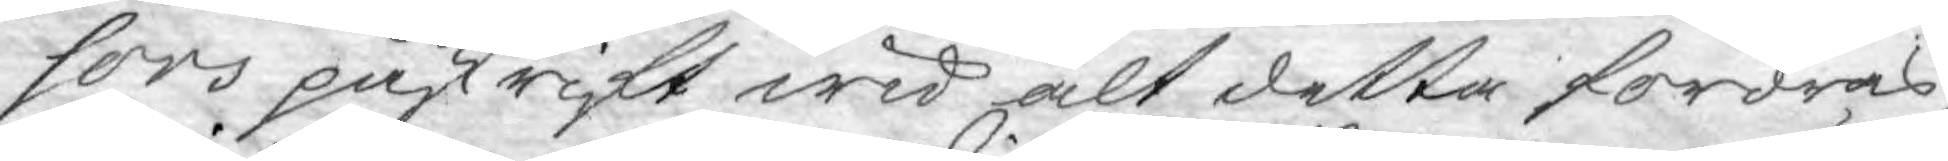sors påskrift wid alt detta fordras,
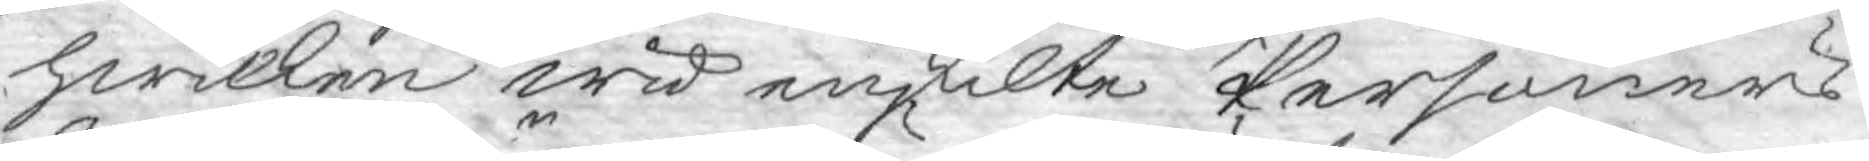hwilken wid enskilte Personers
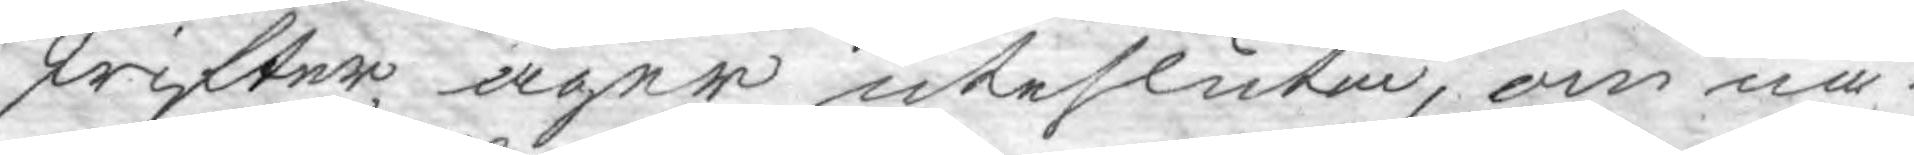skrifter äger utesluta, om nå¬
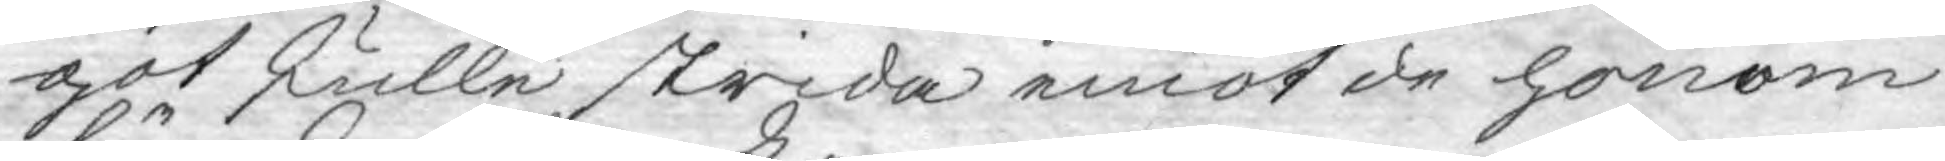got skulle strida emot de honom
